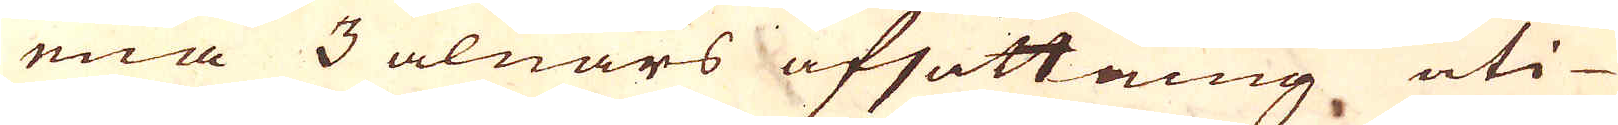ena 3 alnars afsättning uti
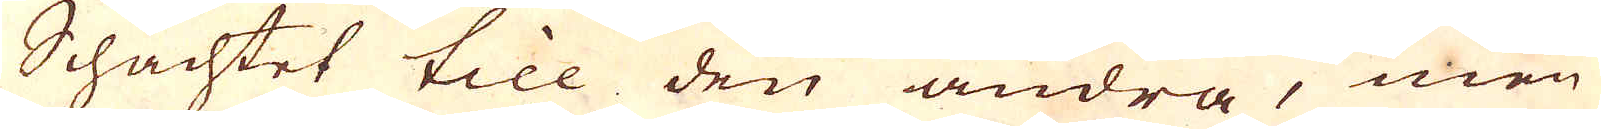Schachtet till den andra, men
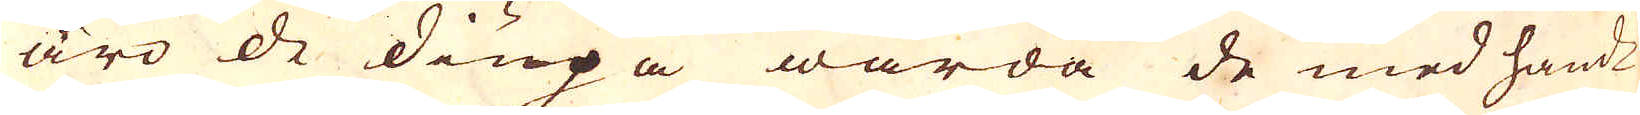äro de diupa warda de med hand-
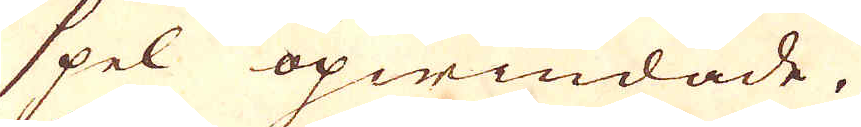spel opwindade.
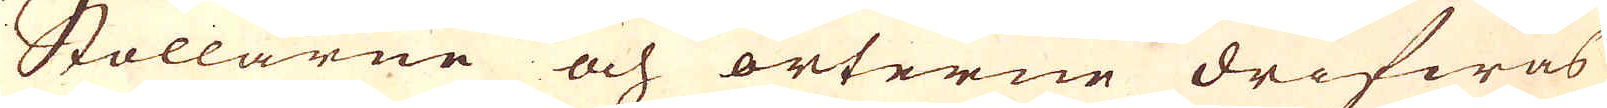Stollarne och orterne drifwas
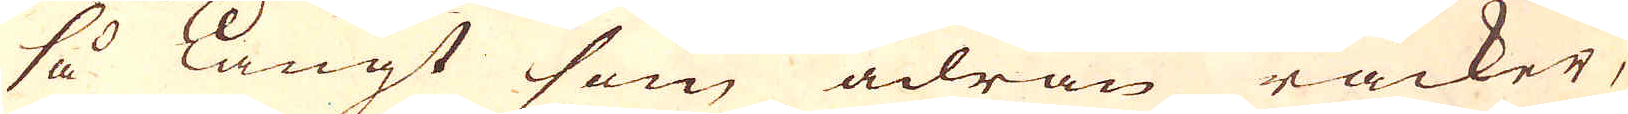så långt som ådran räcker,
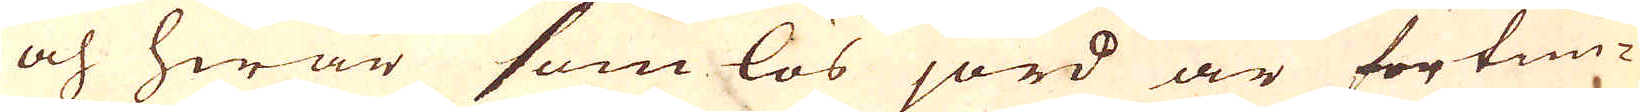och hwar som lös jord är förtim-
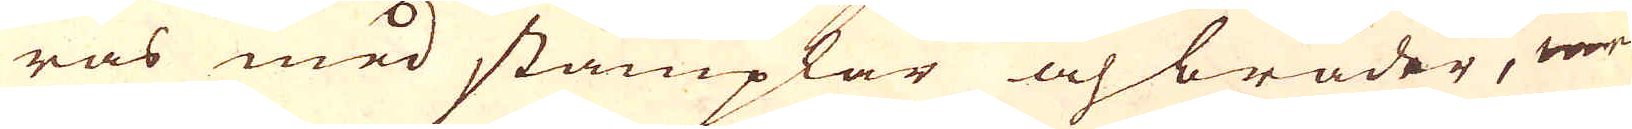ras med stämplar och bräder, men
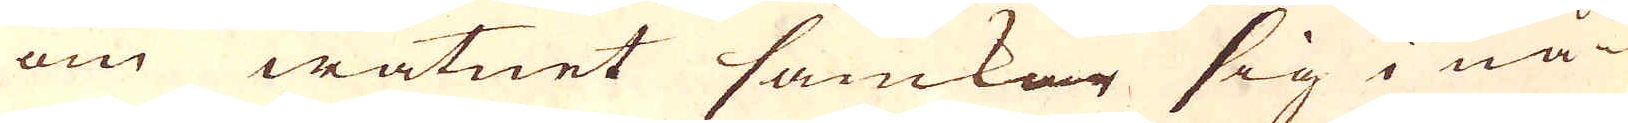om watnet samkar sig i nå-
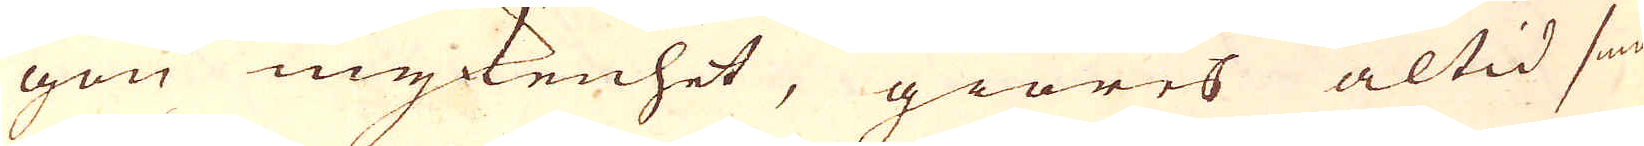gon mykenhet, giöres altid små
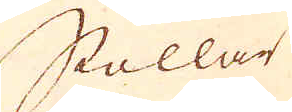Stollar
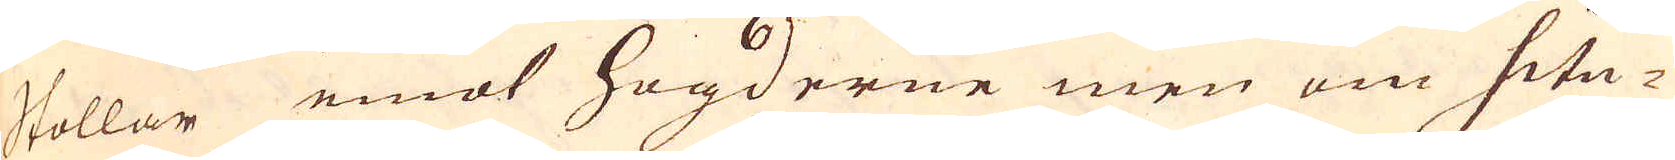stollar emot högderne men om situ-
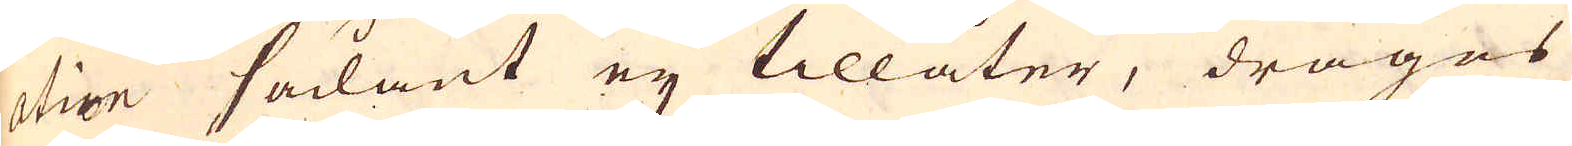ation sådant eij tillåter, drages
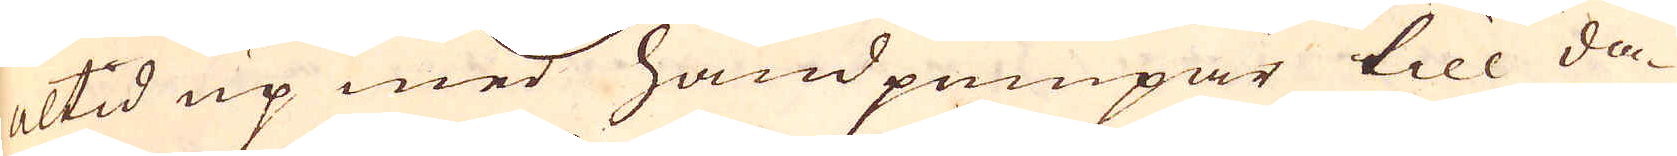altid up med handpumpar till da-
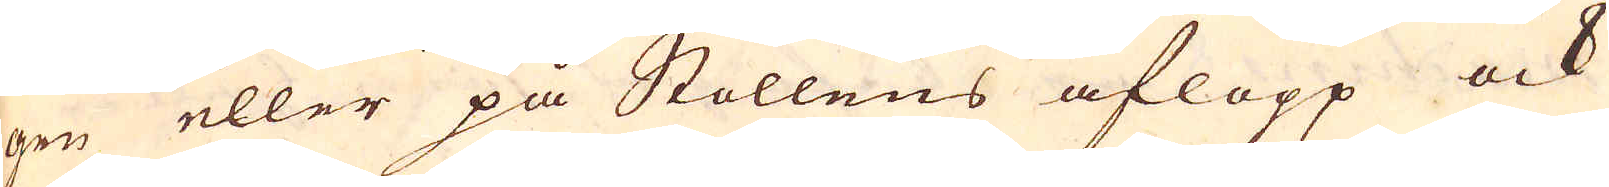gen eller på Stollens aflopp ock
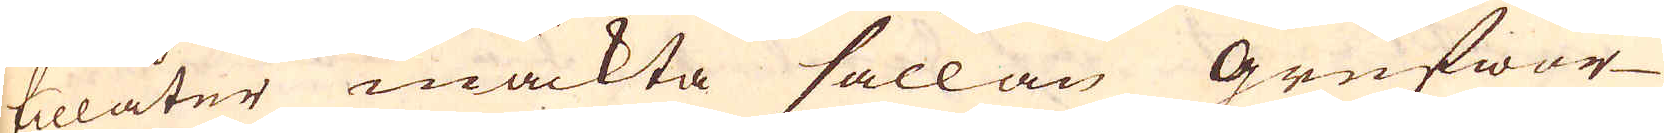tillåter mäckta sällan Grufwor-
